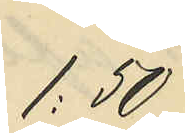1:50
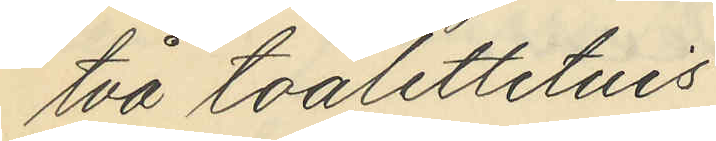två toalettetuis
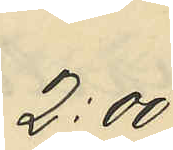2:00
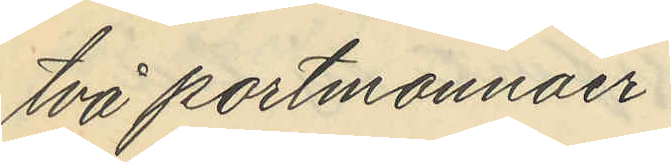två portmonnäer
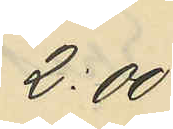2.00
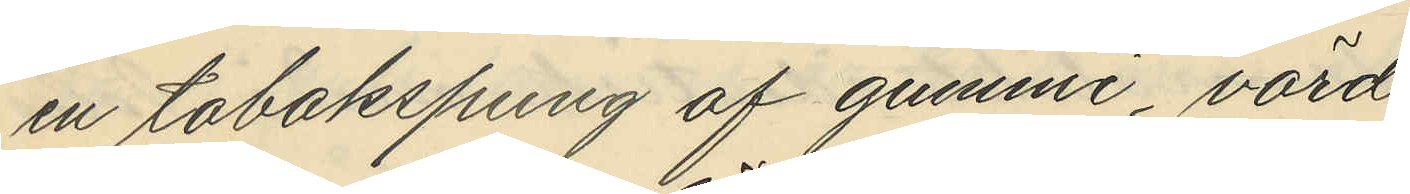en tobakspung af gummi, värd
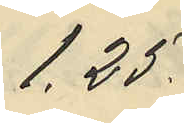1,25
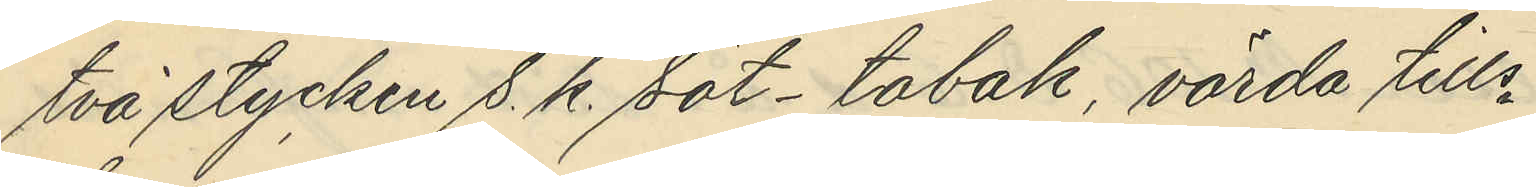två stycken s. k. söt- tobak, värda tills
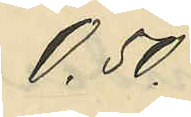0,50
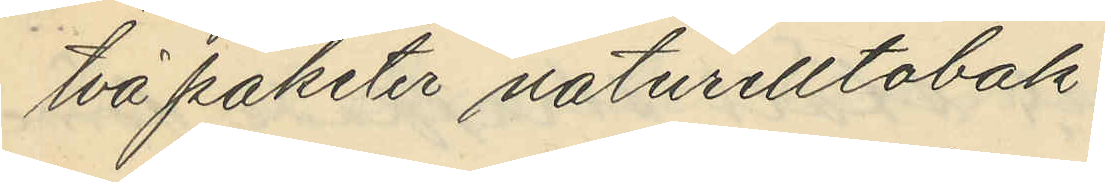två paketer naturelltobak.
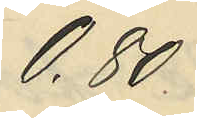0,80
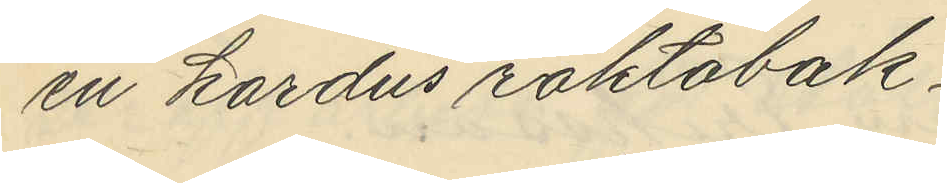en kardus röktobak
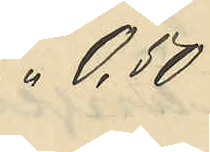" 0,50
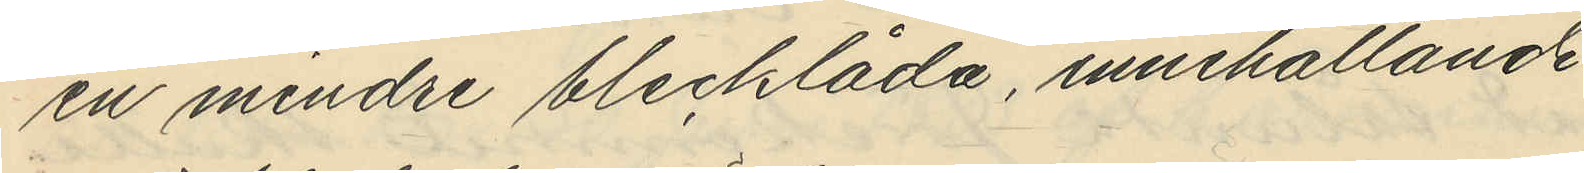en mindre blecklåda, innehållande
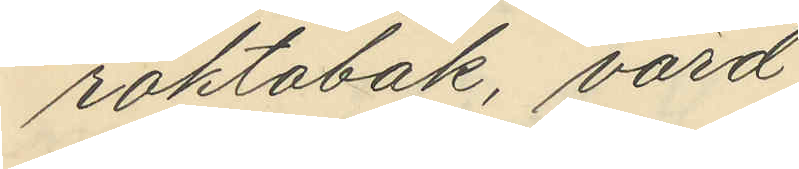röktobak, värd
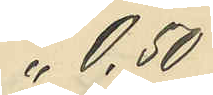" 0,50
